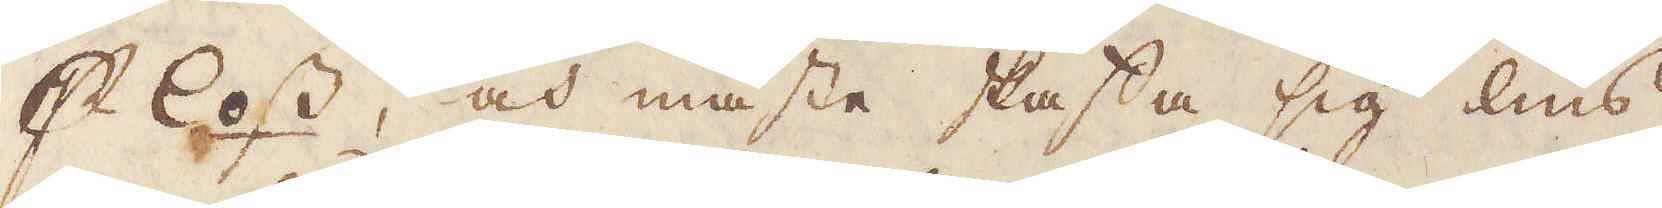p loss, och måste skaffa sig lius
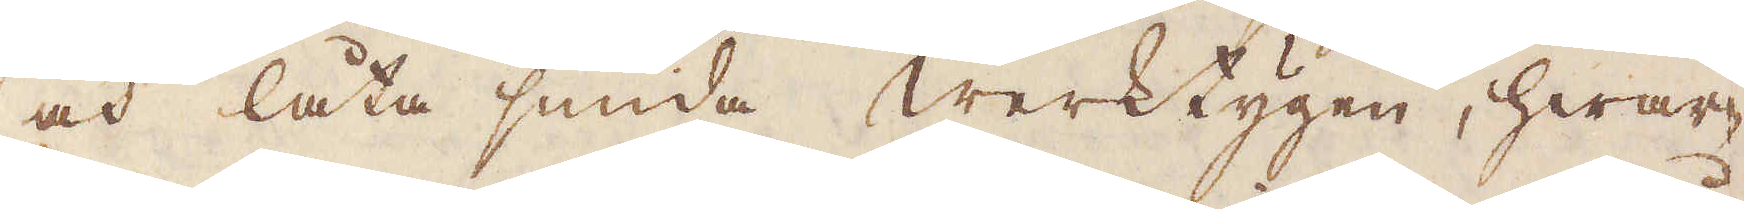och låta smida werktygen, hwar-
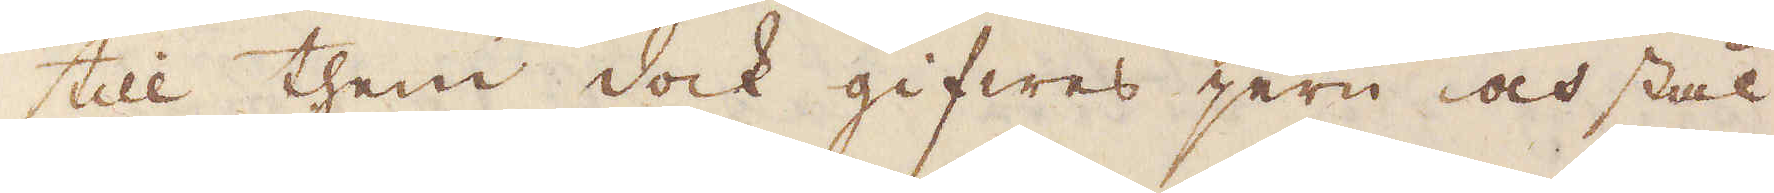till them dock gifwes jern och stål
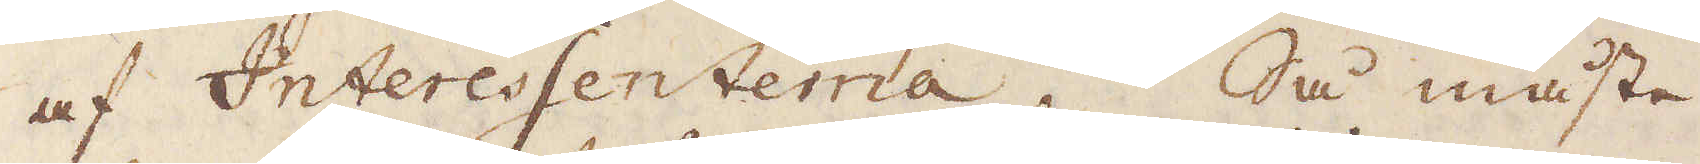af Interessenterna. Så måste
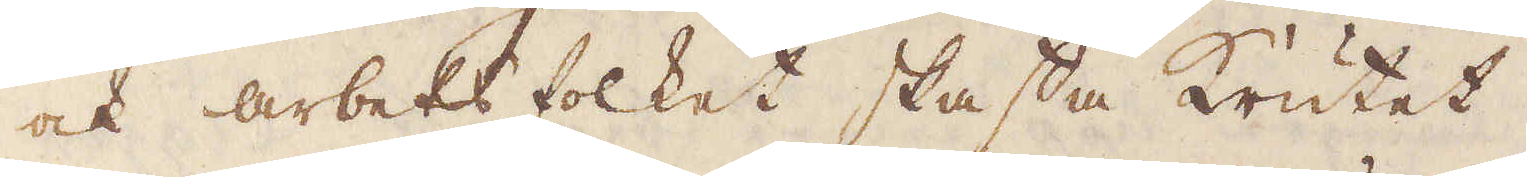ock arbets folket skaffa Krutet,
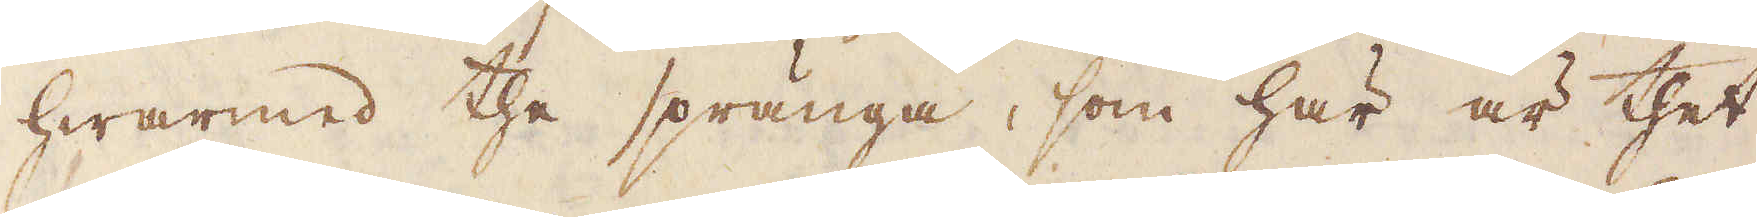hwarmed the spränga, som här är thet
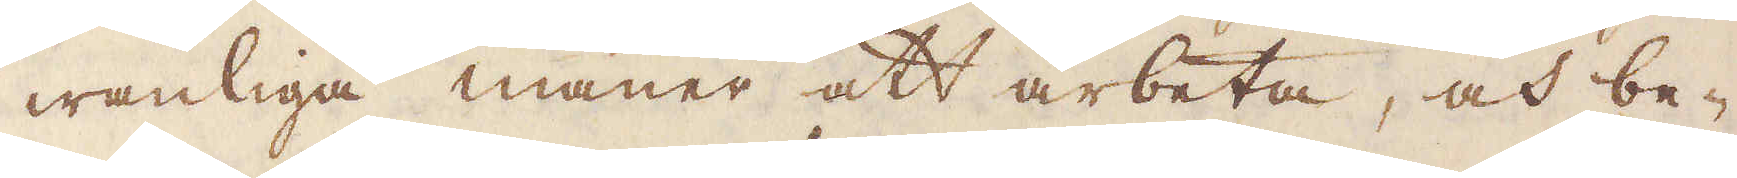wanliga maner att arbeta, och be-
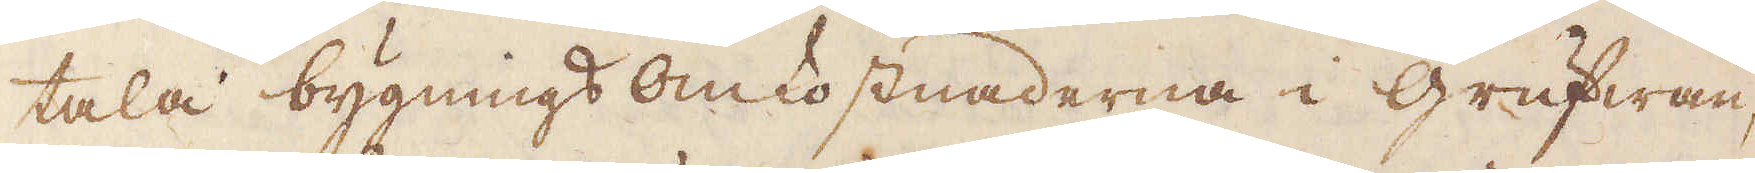tala bygnings omkostnaderna i grufwan,
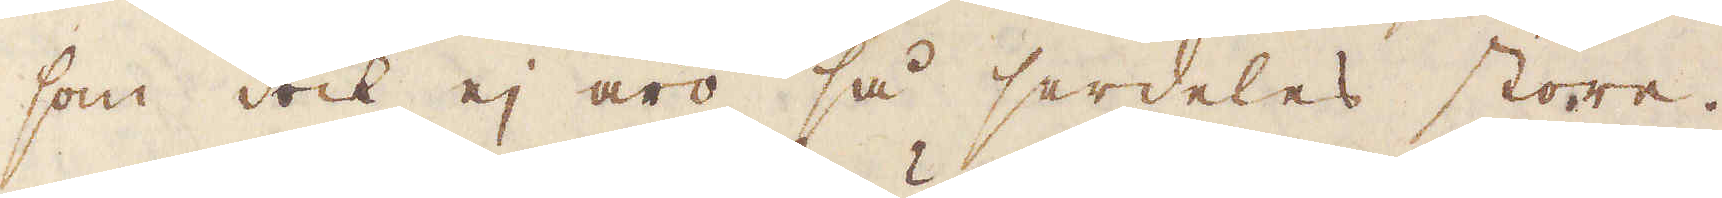som dock ej äro så serdeles store.
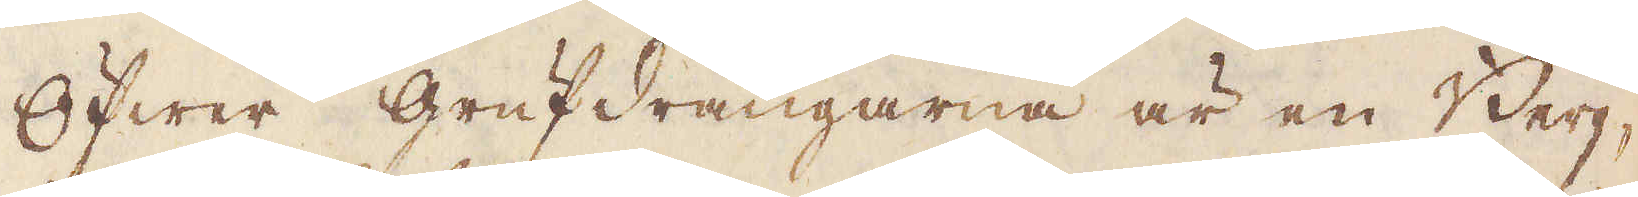Öfwer Grufdrängarna är en Berg-
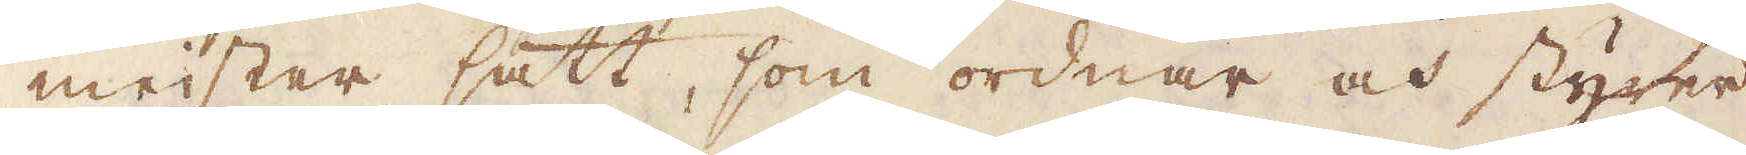meister satt, som ordnar och styrer
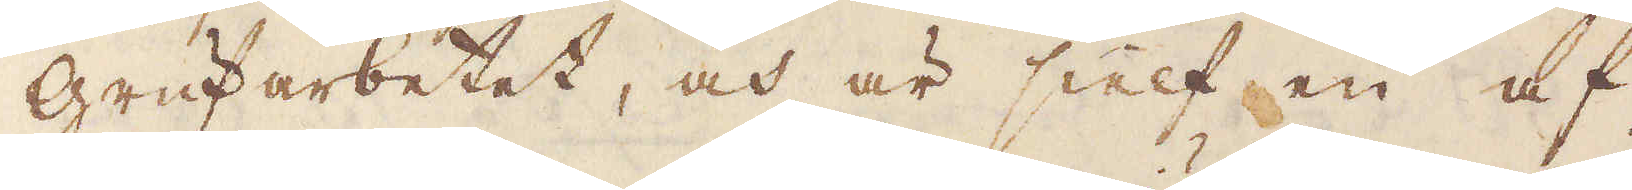grufarbetet, och är sielf en af
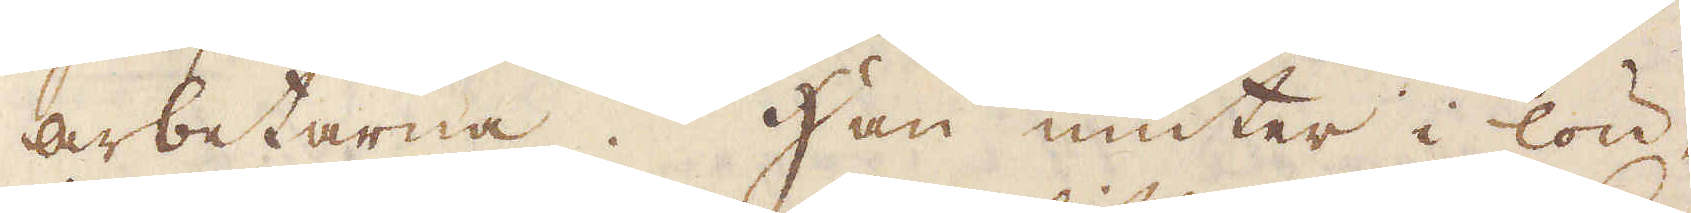arbetarna. Han niuter i lön,
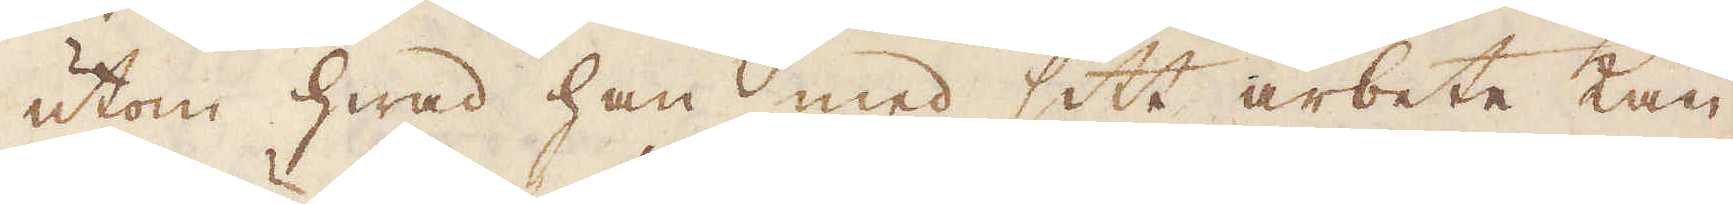utom hwad han med sitt arbete kan
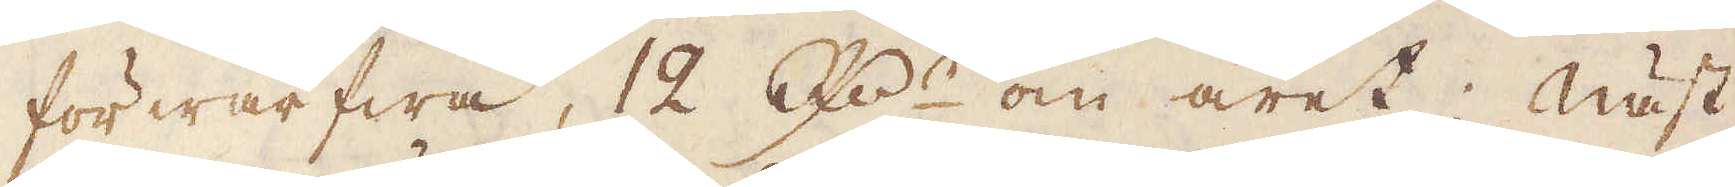förwärfwa, 12 R:dr om året; Näst
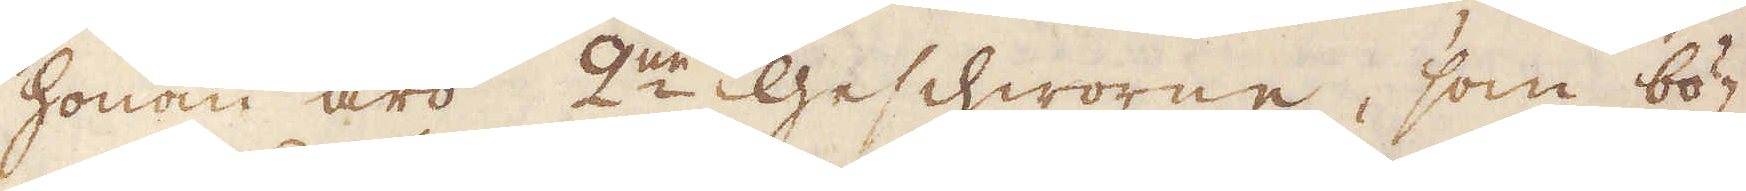honom äro 2:ne Geschworne, som bö-
